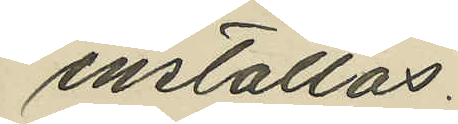inställas.
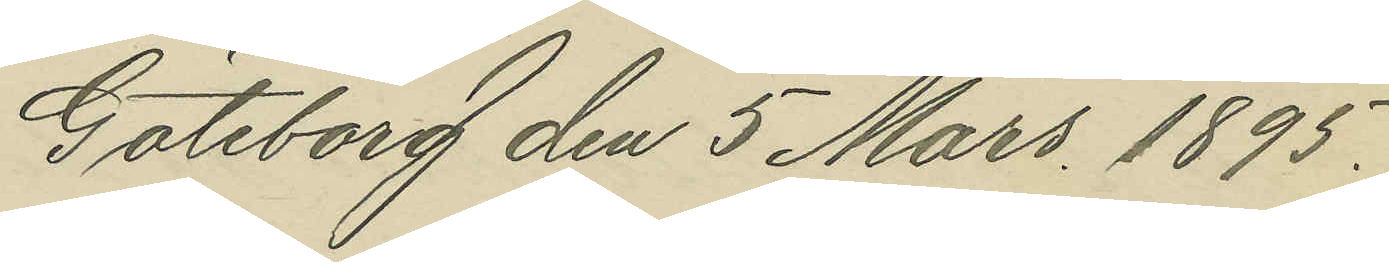Göteborg den 5 Mars 1895.
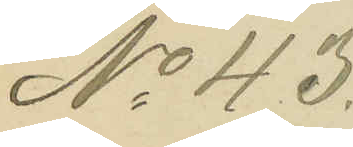No 43.
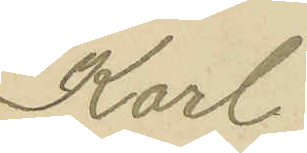Karl
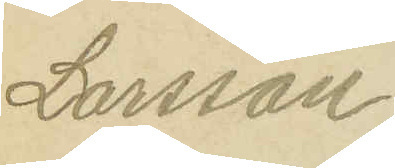Larsson.
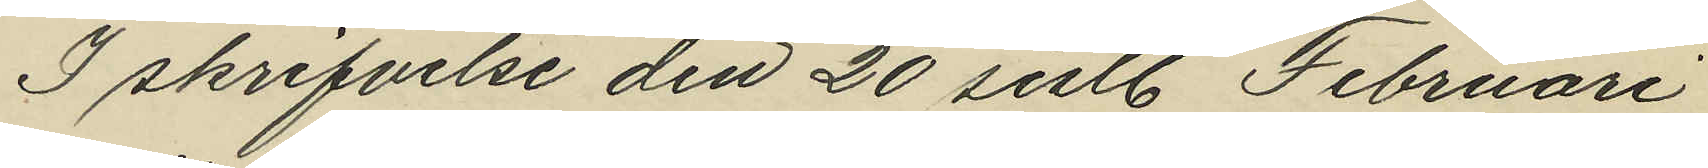I skrifvelse den 20 sistl. Februari
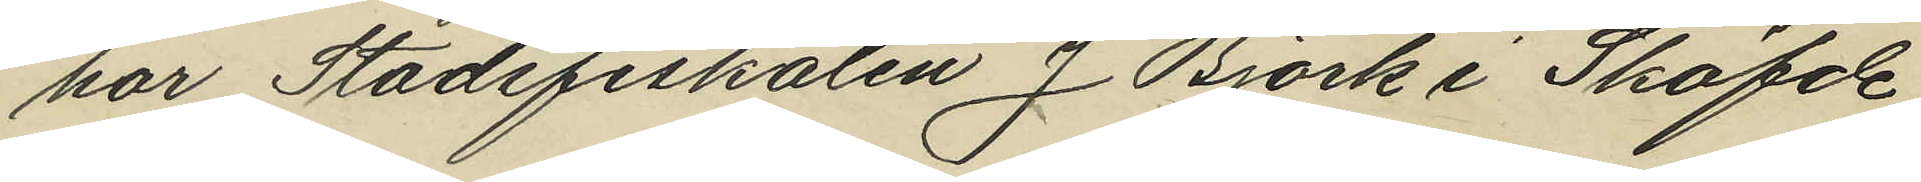har Stadsfiskalen J. Björk i Sköfde
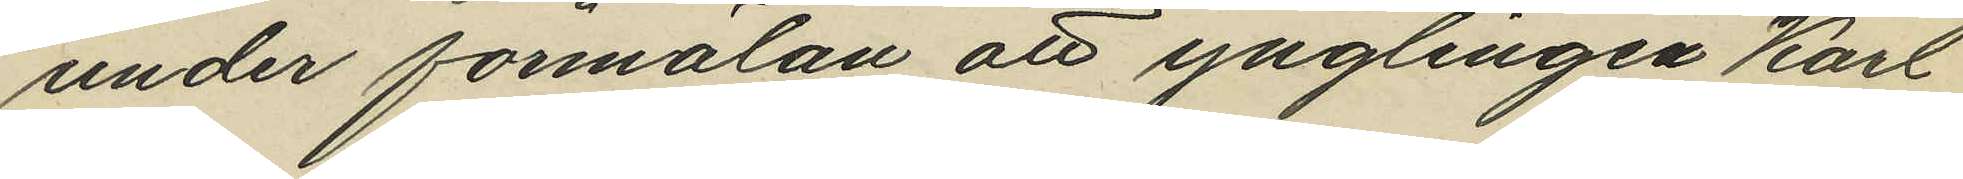under förmälan att ynglingen Karl
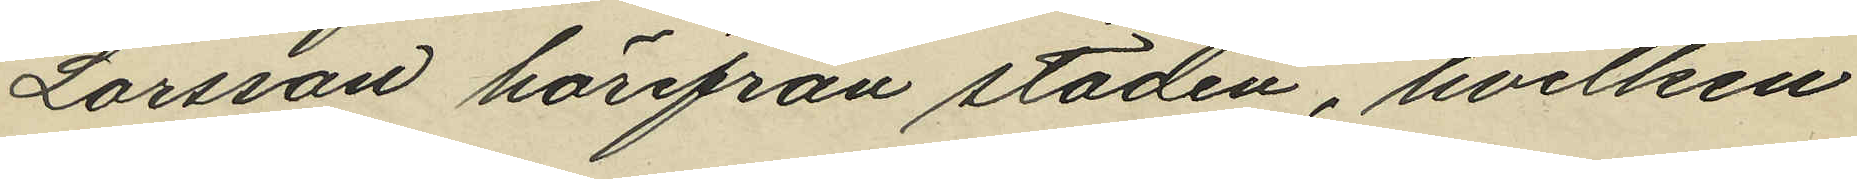Larsson härifrån staden, hvilken
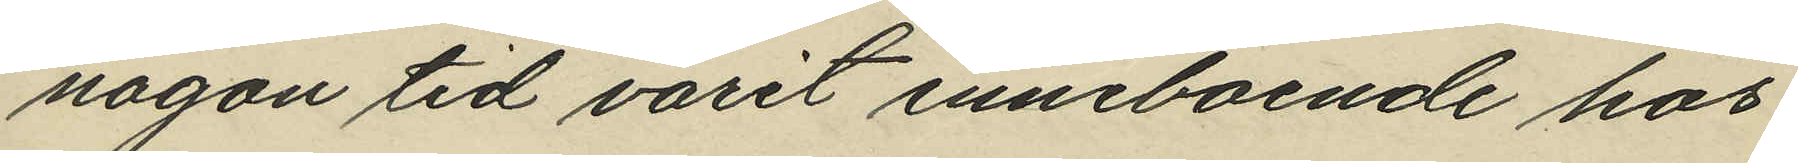någon tid varit inneboende hos
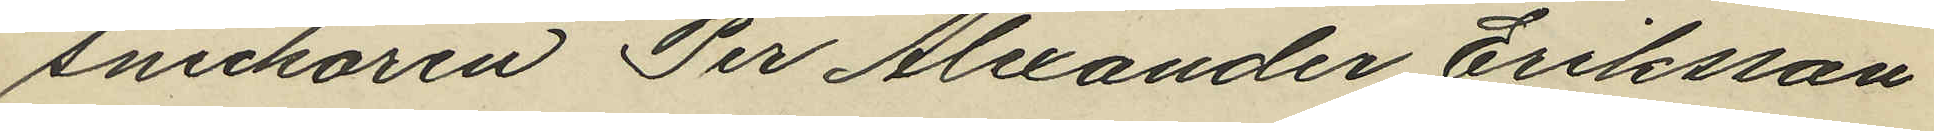snickaren Per Alexander Eriksson
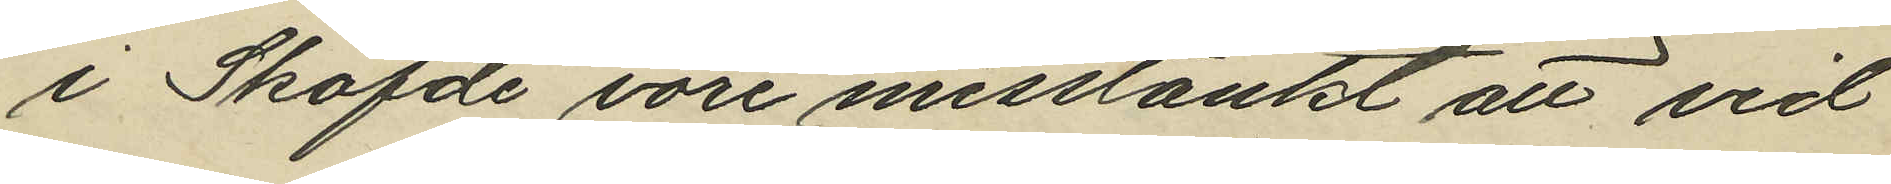i Sköfde vore misstänkt att vid
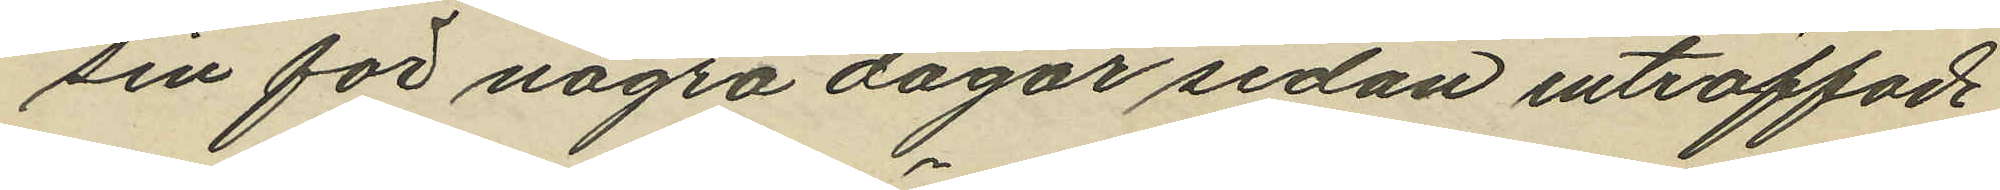sin för några dagar sedan inträffade
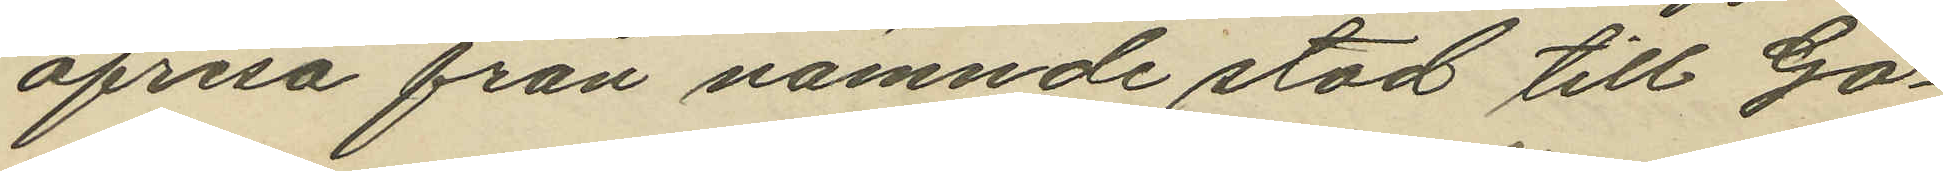afresa från nämnde stad till Gö¬
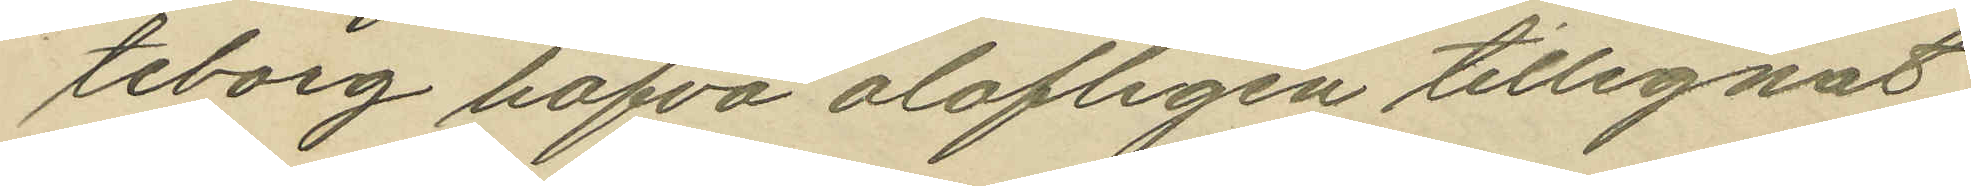teborg hafva olofligen tillegnat
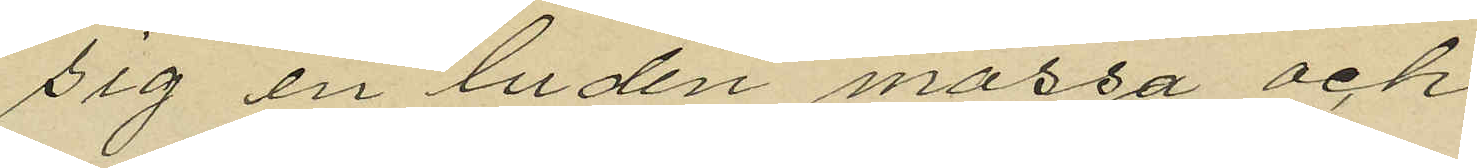sig en luden mössa och
